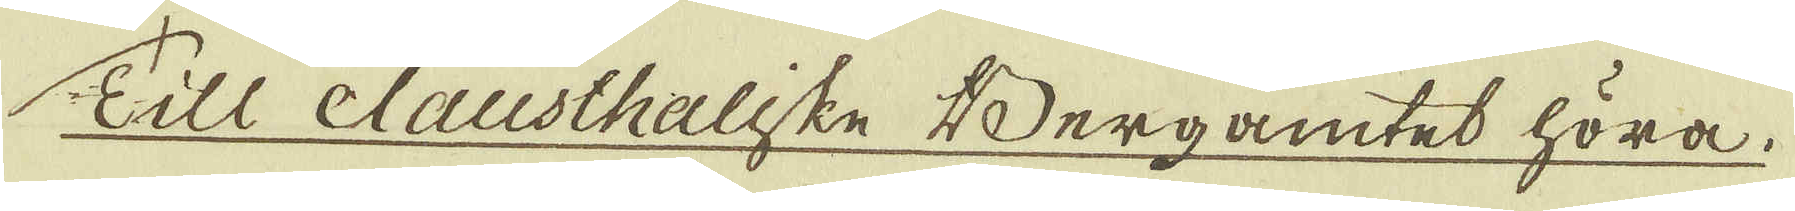Till Clausthaliske Bergamtet höra.
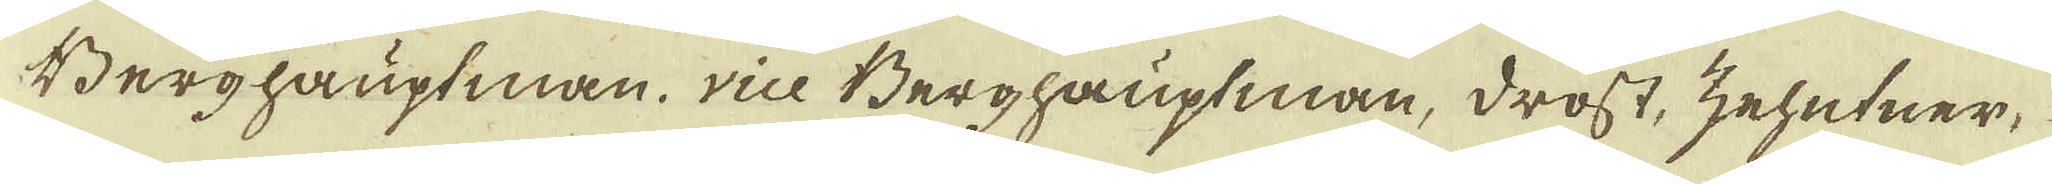Berghauptman, vice Berghauptman, drost, zehutner,
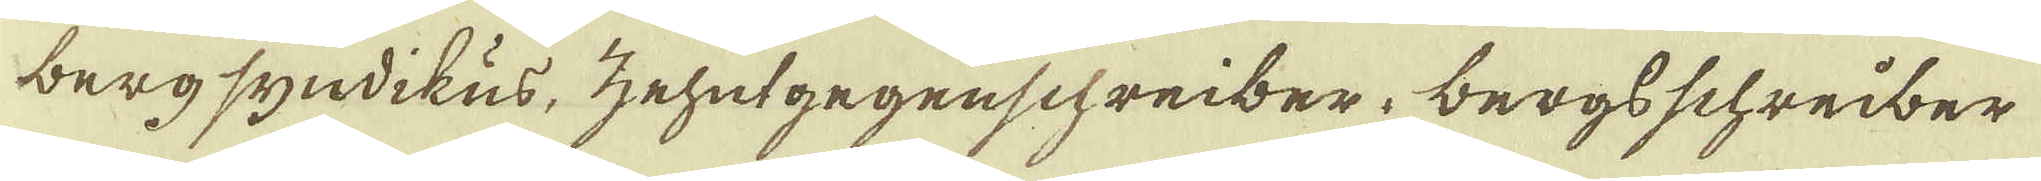bergsyndikus, zehutgegenschreiber, bergsschreiber
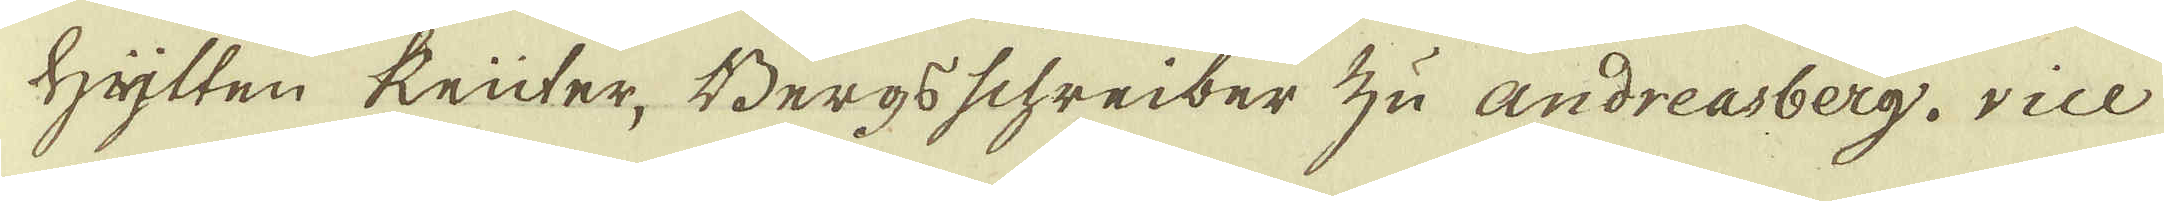hylten keüter, Bergsschreiber zu andreasberg, vice
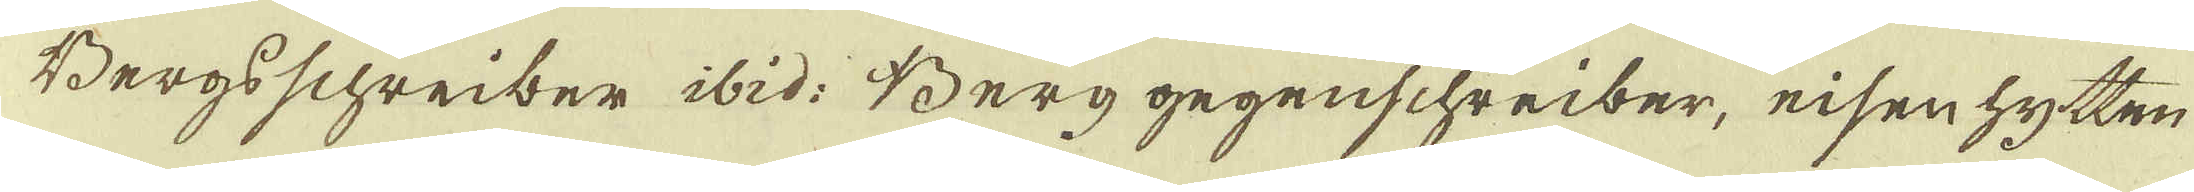Bergsschreiber ibid: Berg gegenschreiber, eisenhytten
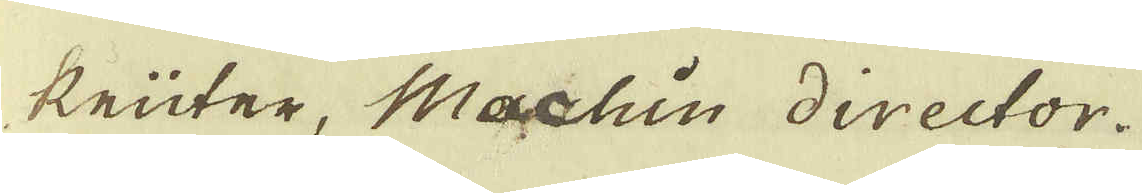knüter, Machin director.
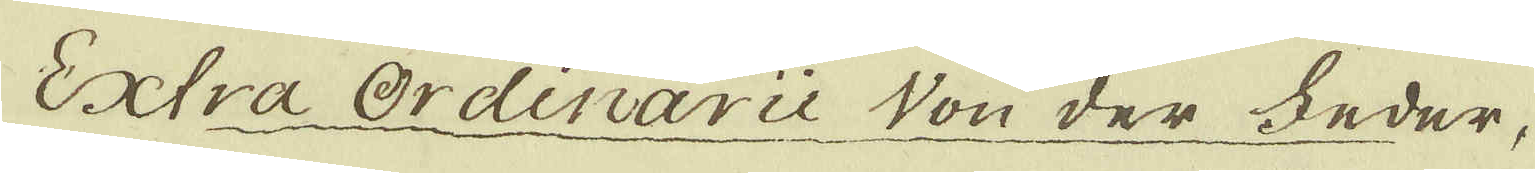Extra Ordinarie Von der heder,
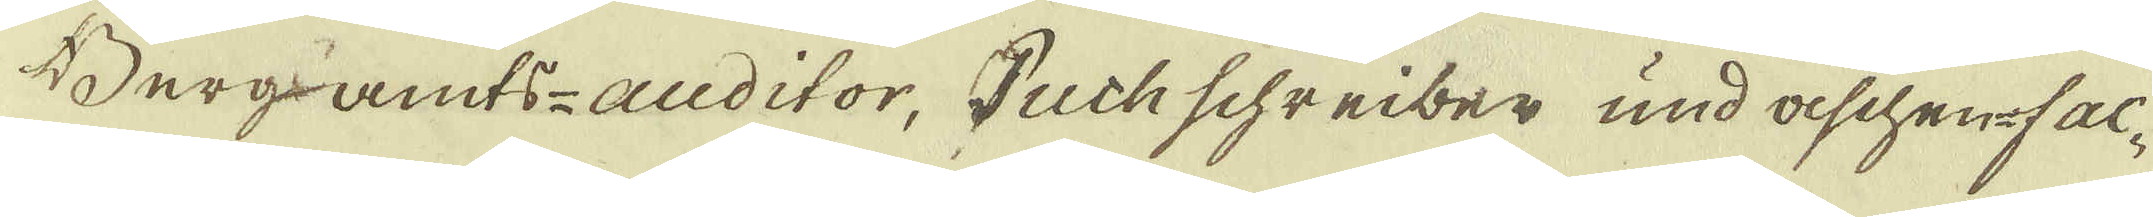Bergs amts-auditor, Buchschreiber und aschen-fac-
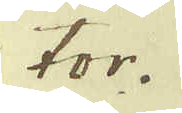tor.
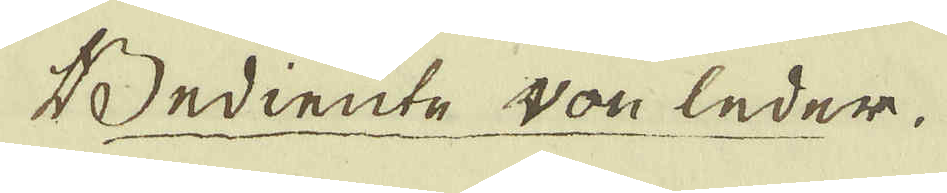Bediente Von leder.
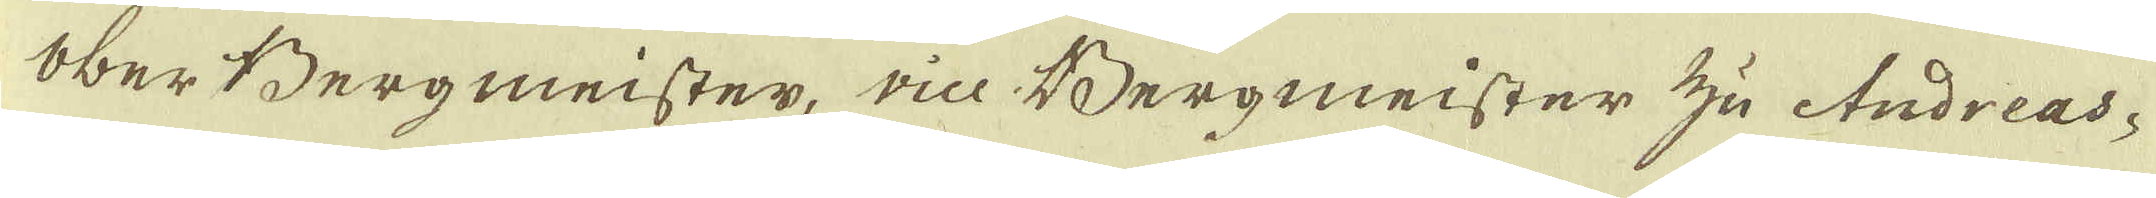Ober Bergmeister, vice Bergmeister zu Andreas-
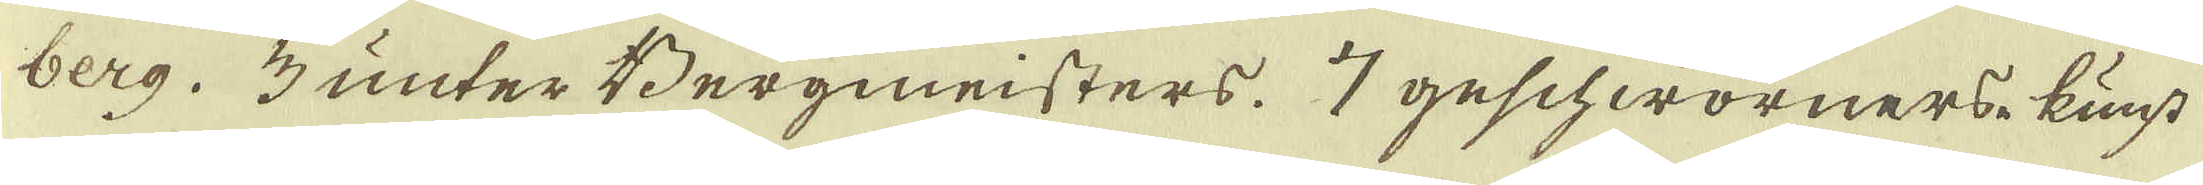berg. 3 unter Bergmeisters. 7 geschworners kunst
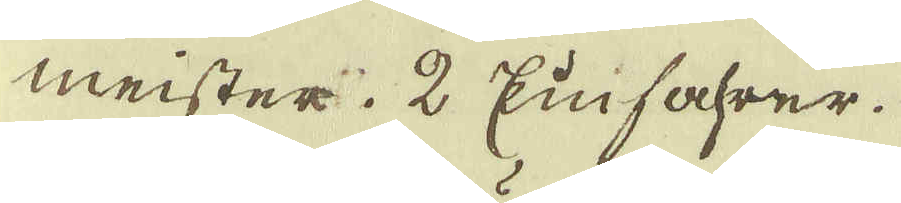meister. 2 Einfahrer.
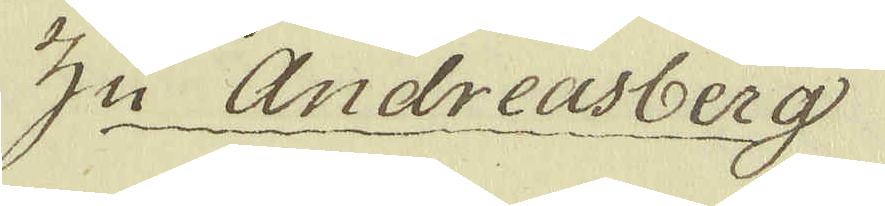Zu Andreasberg
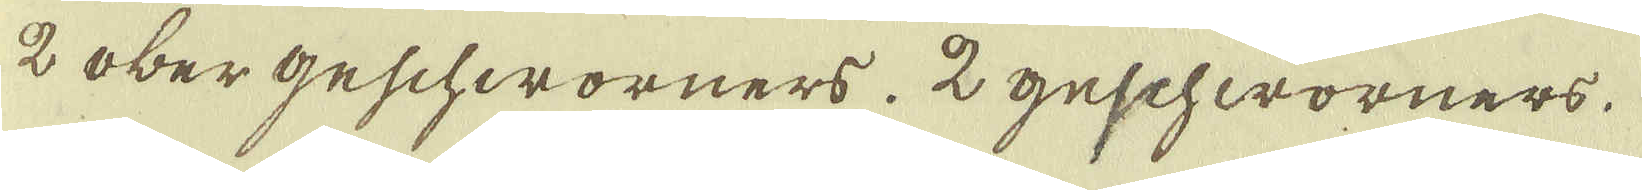2 ober geschworners. 2 geschworners.
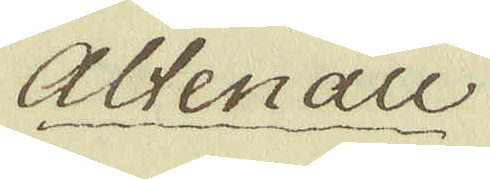Altenau
